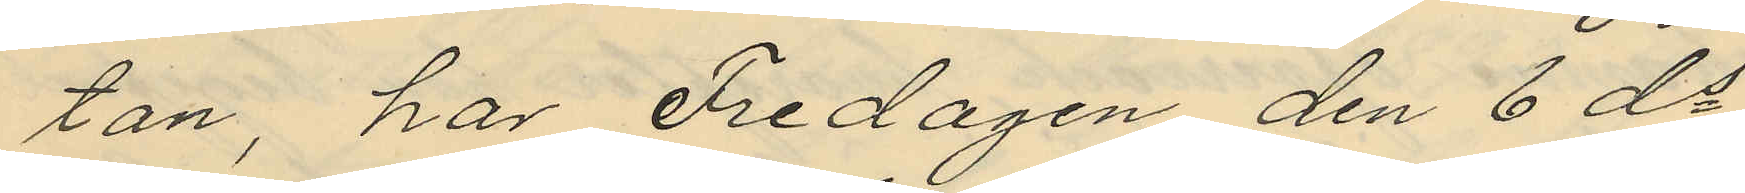tan, har Fredagen den 6 ds
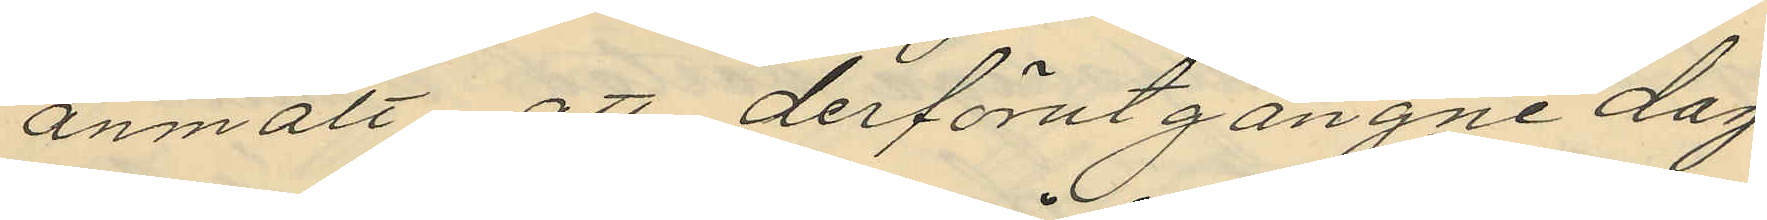anmält, att derförutgångne dag
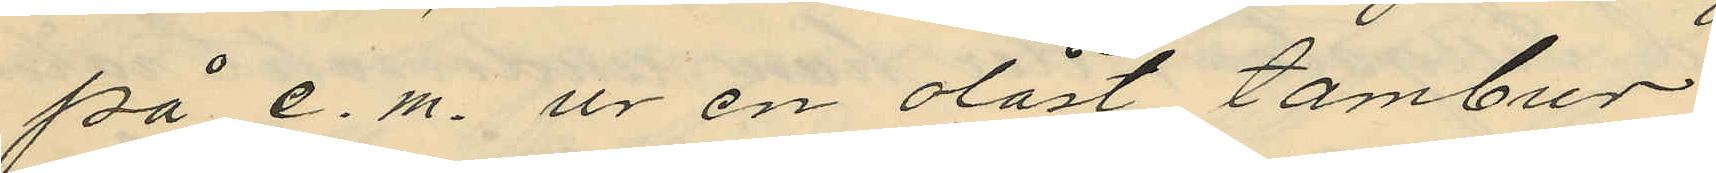på e. m. ur en olåst tambur
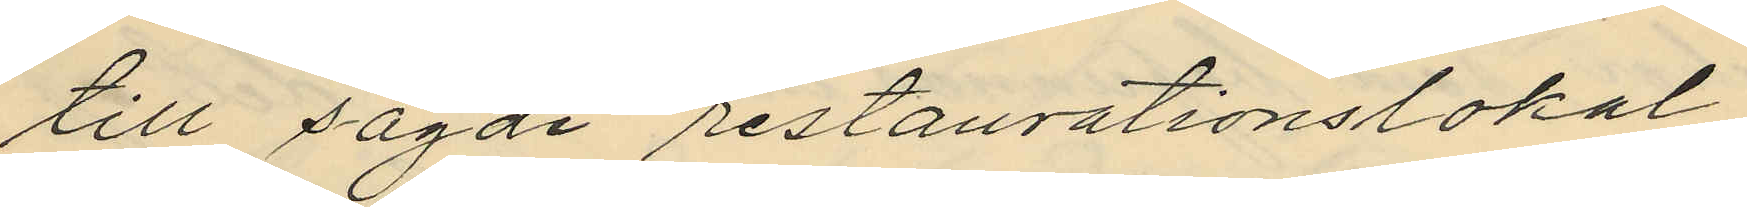till sagde restaurationslokal,
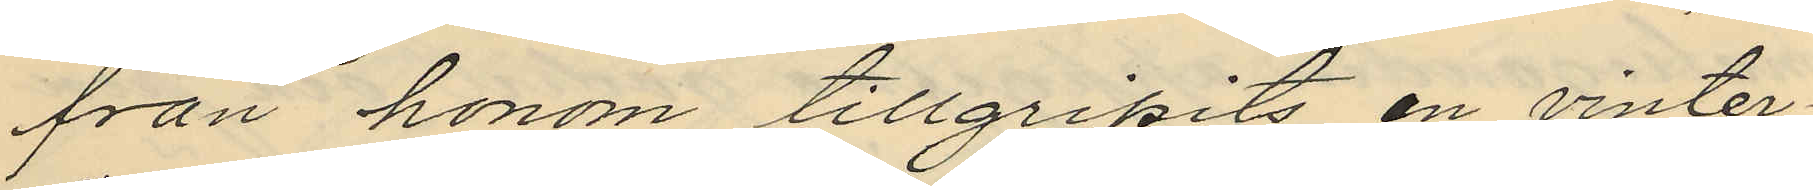från honom tillgripits en vinter¬
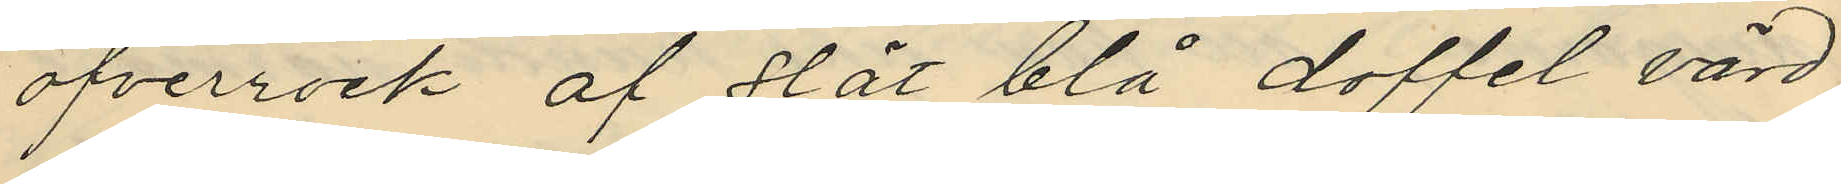öfverrock af slät blå doffel värd
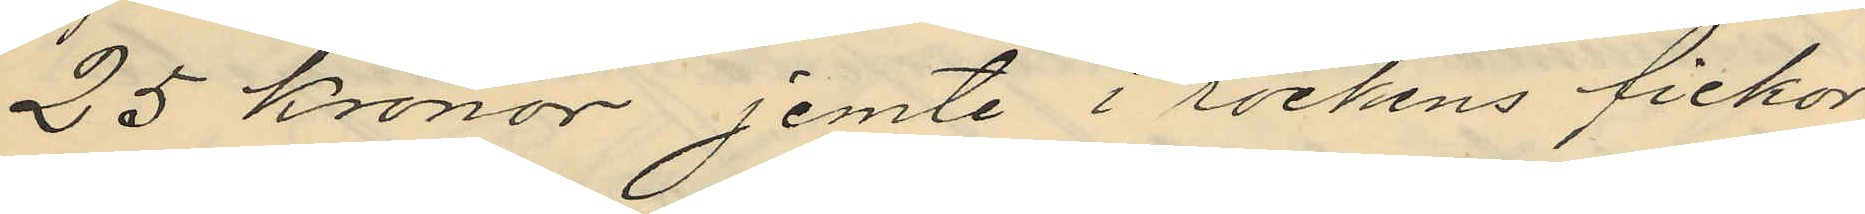25 Kronor jemte i rockens fickor
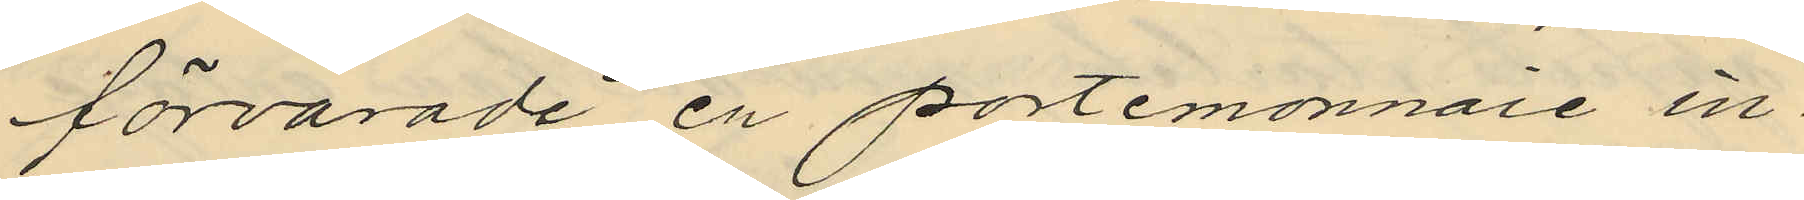förvarade en portemonnaie in¬
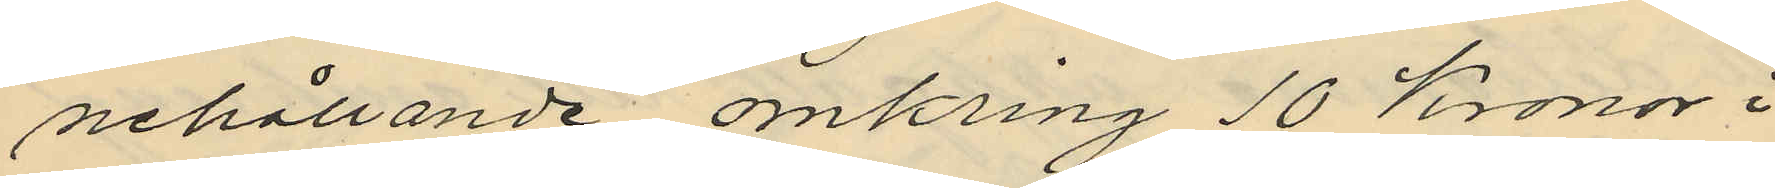nehållande omkring 10 Kronor i
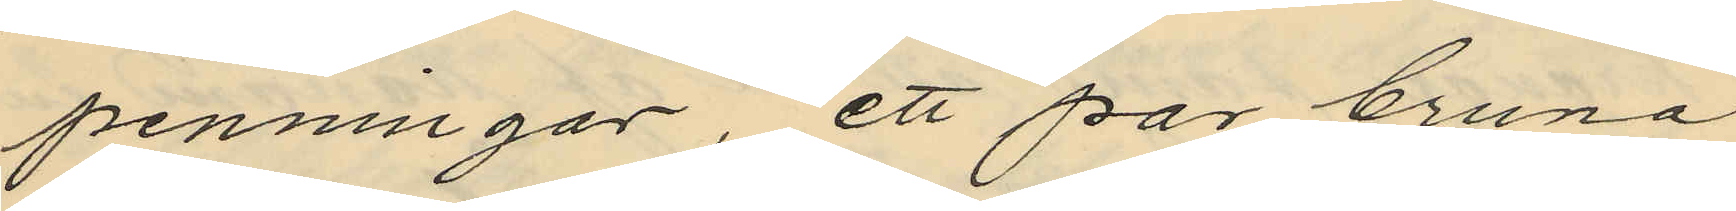penningar, ett par bruna
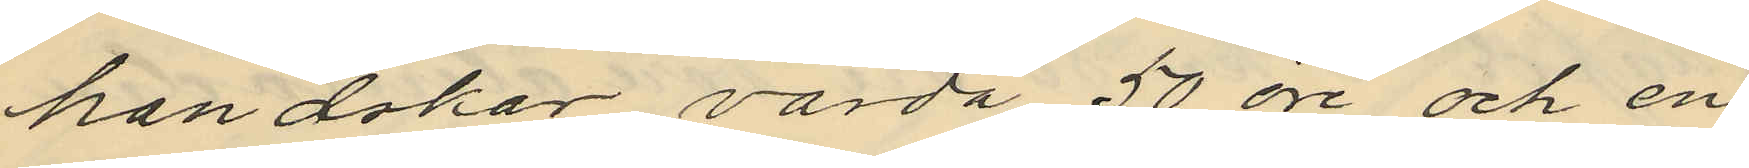handukar värda 50 öre och en
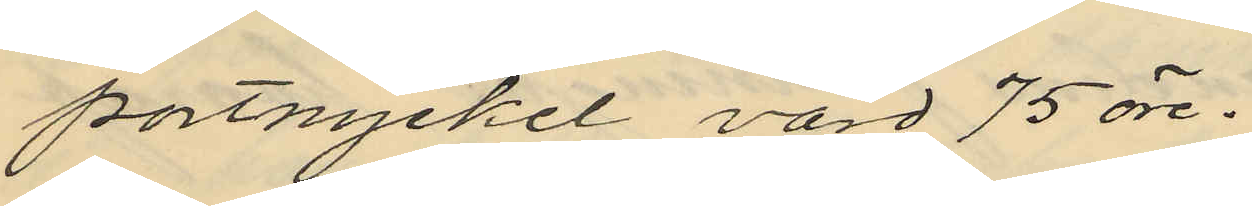portnyckel, värd 75 öre.
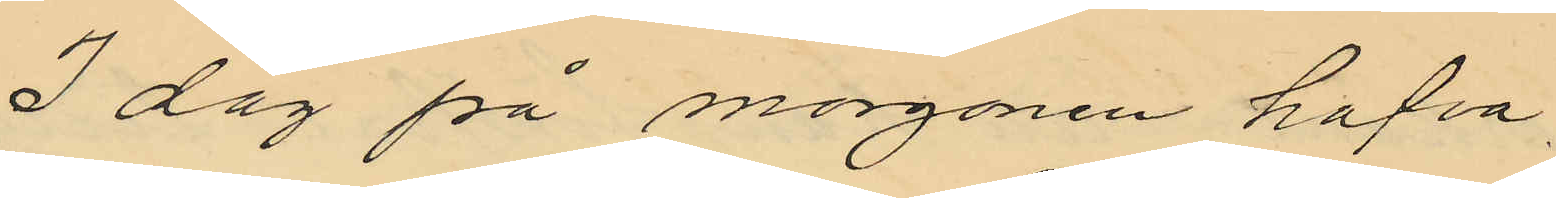I dag på morgonen hafva
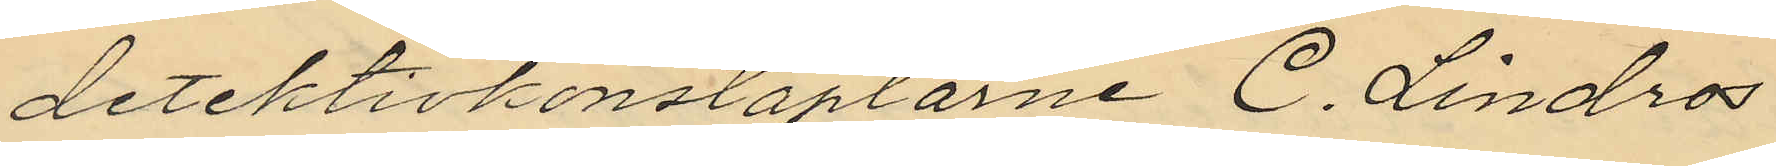detektivkonstaplarne C. Lindros
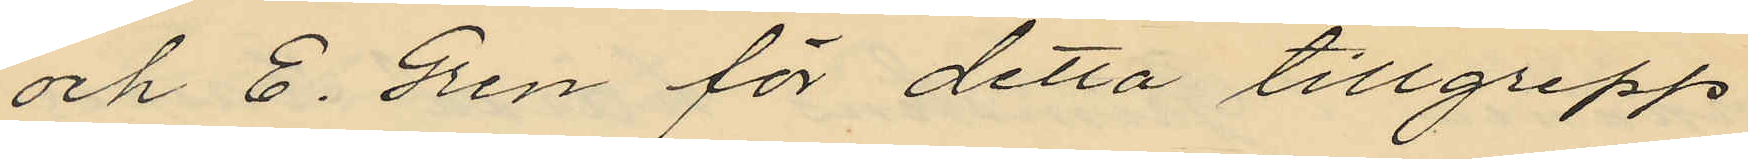och E. Gren för detta tillgrepp
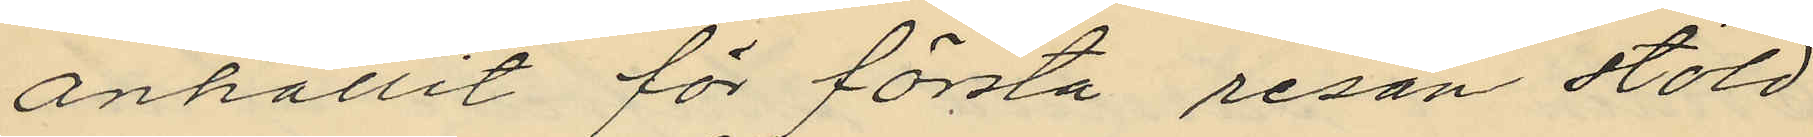anhållit för första resan stöld
